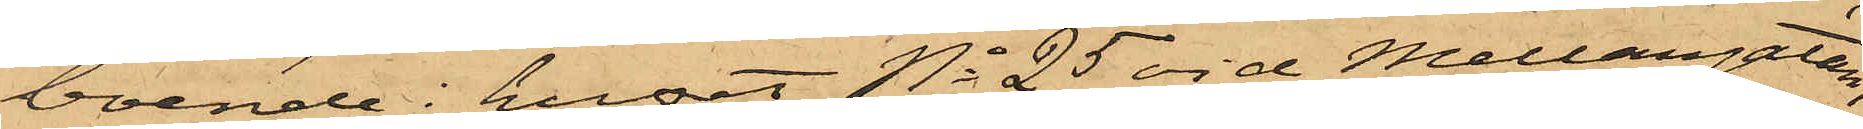boende i huset No 25 vid Mellangatan,
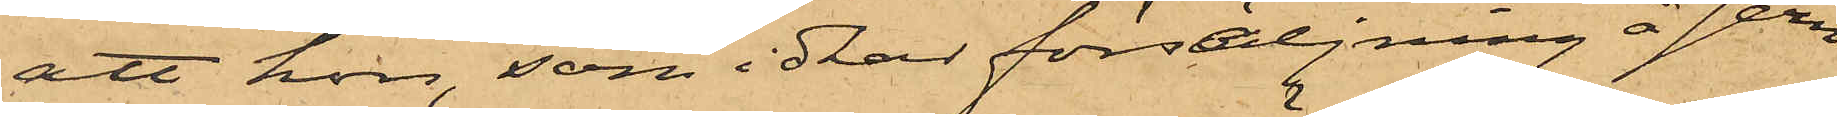att hon, som idkar försäljning å Jern¬
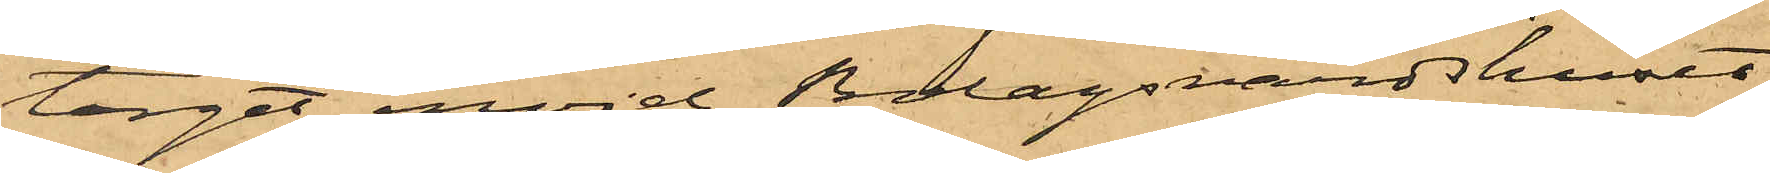torget invid Bolagsvärdshuset,
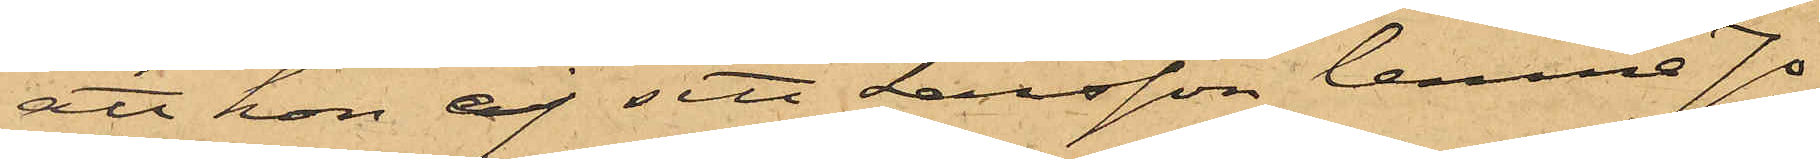att hon ej sett Larsson lemna Jo¬
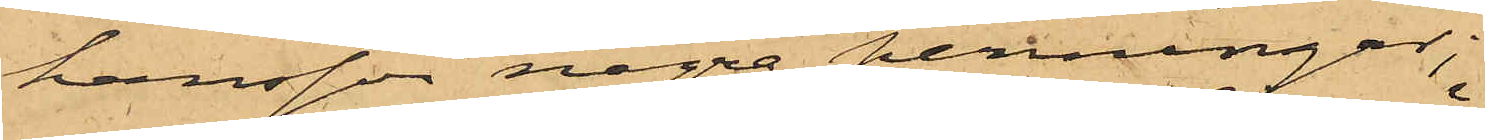hansson några penningar;
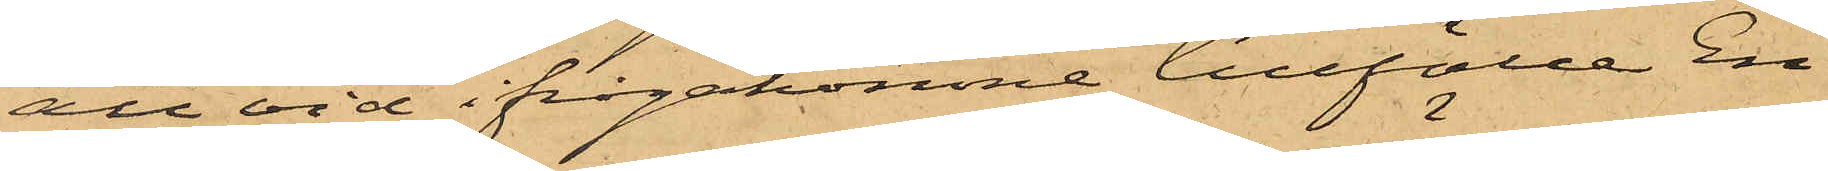att vid ifrågakomne tillfälle En¬
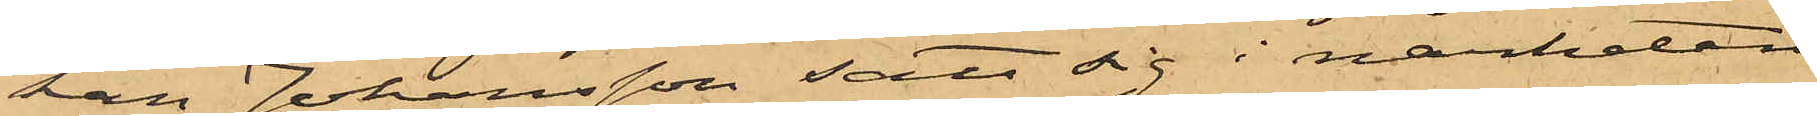kan Johansson satt sig i närheten
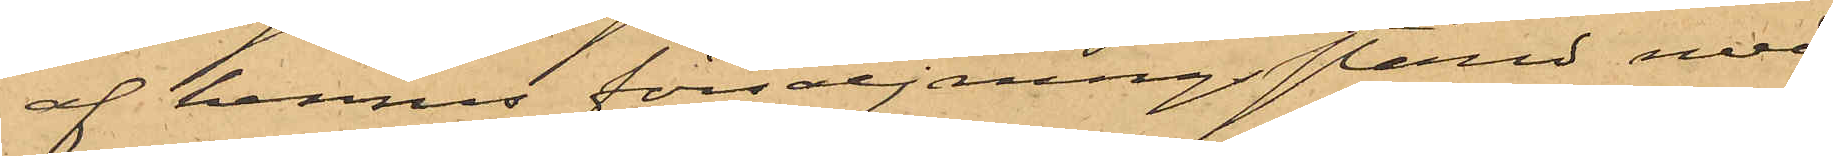af hennes försäljningsstånd med
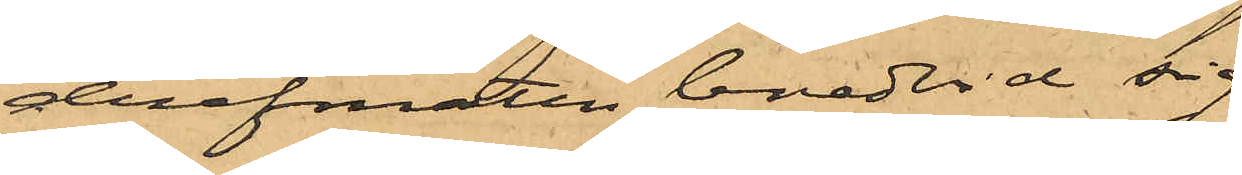drefmaten bredvid sig;
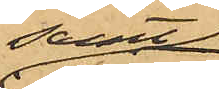samt
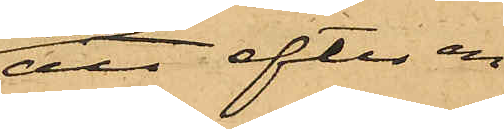att efter en
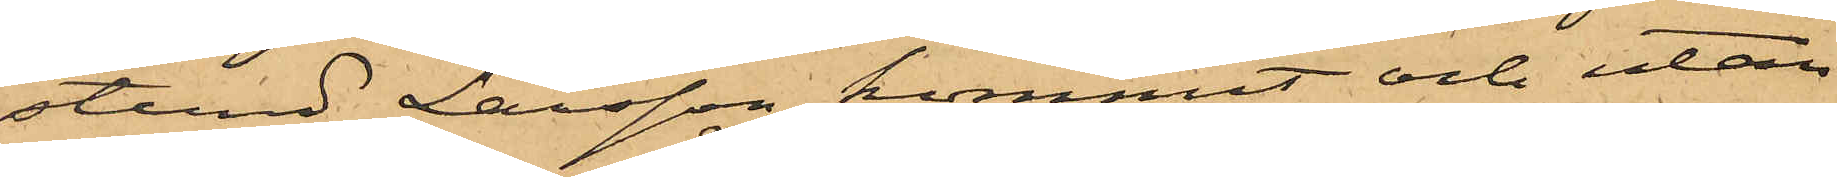stund Larsson kommit och utan
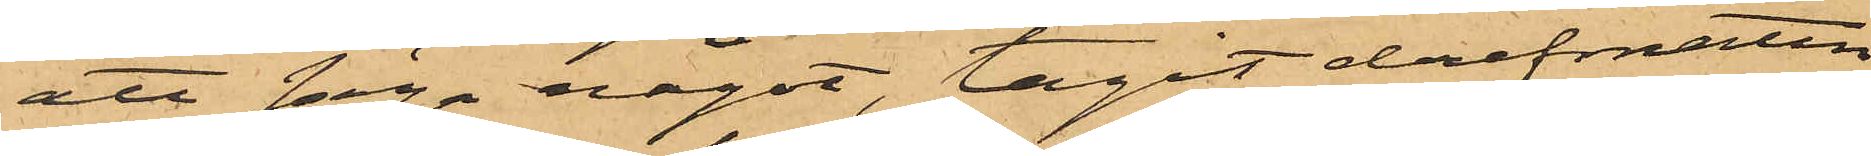att säga något, tagit drefmaten
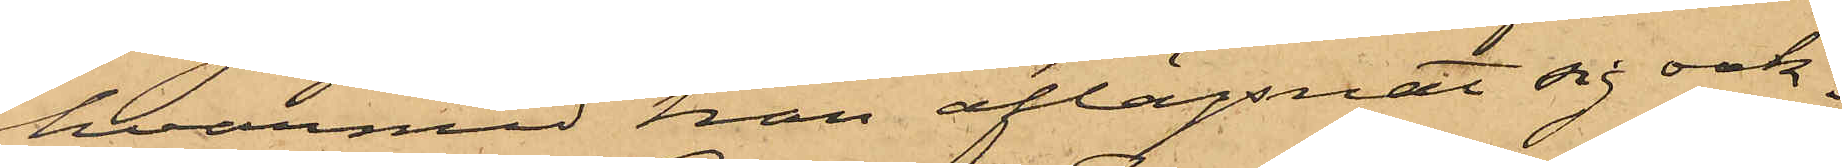hvarmed han aflägsnat sig oak¬
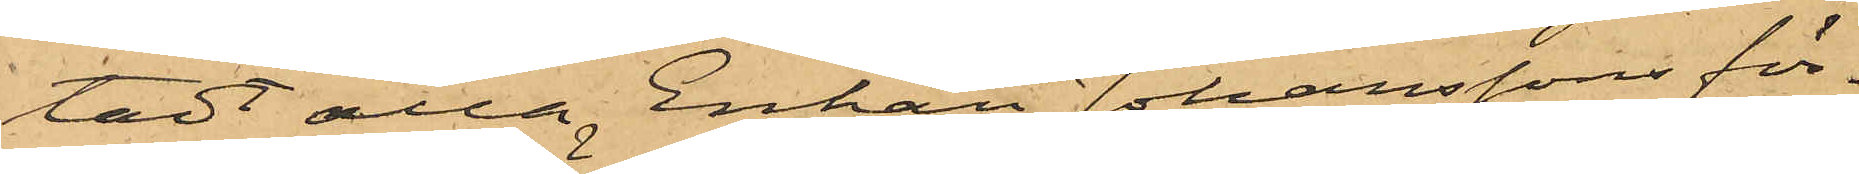tadt alla Enkan Johanssons för¬
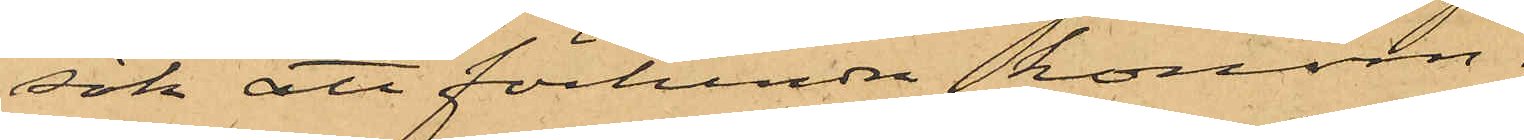sök att förhindra honom.
